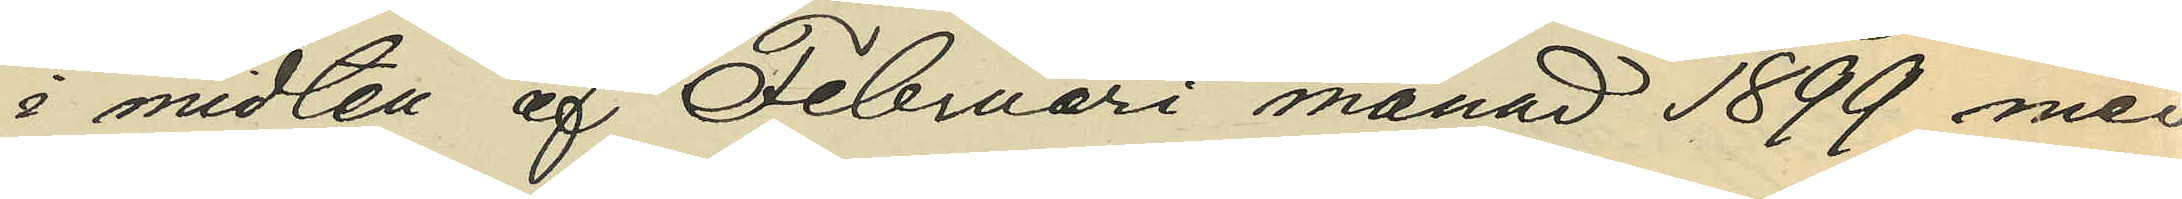i midten af Februari månad 1899 med
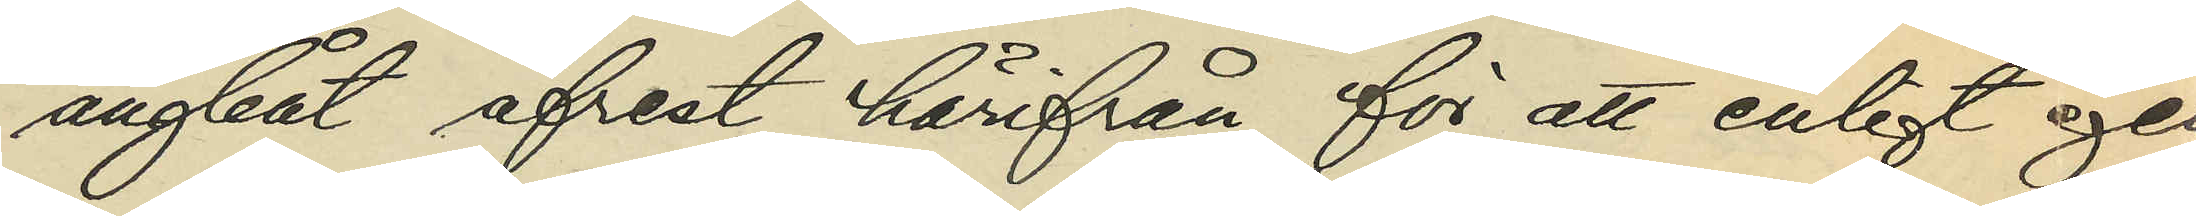ångbåt afrest härifrån för att enligt egen
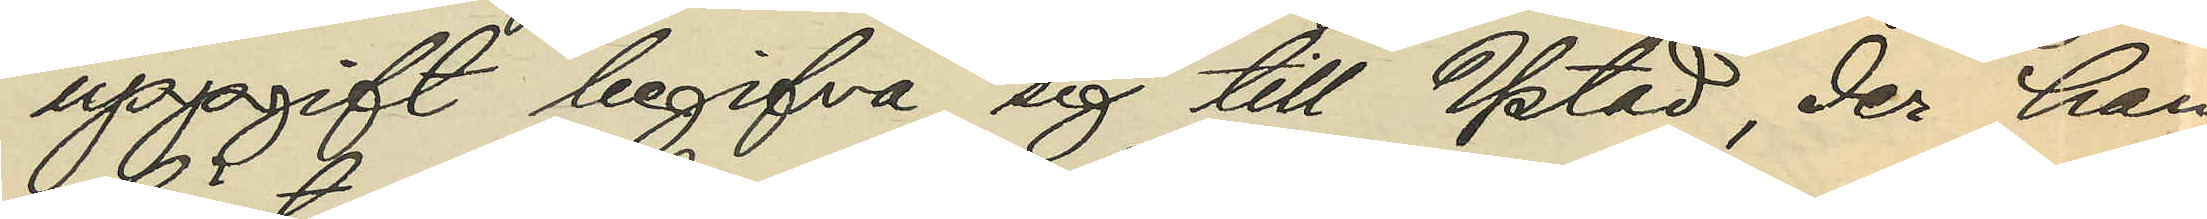uppgift begifva sig till Ystad, der han
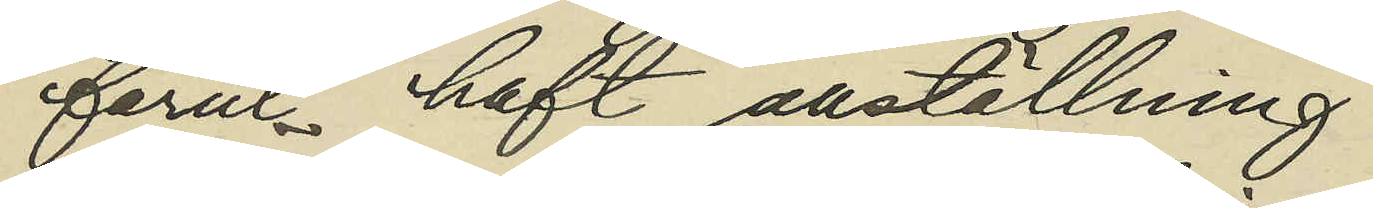förut haft anställning.
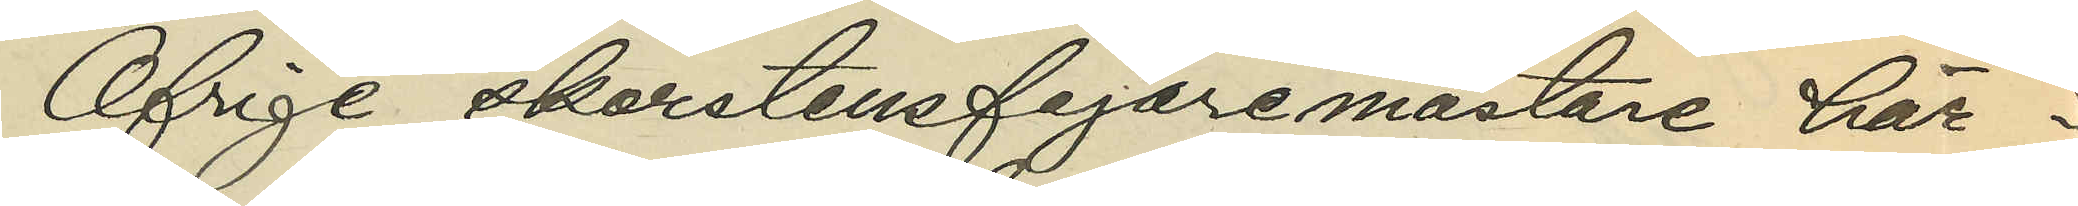Öfrige skorstensfejaremästare här i
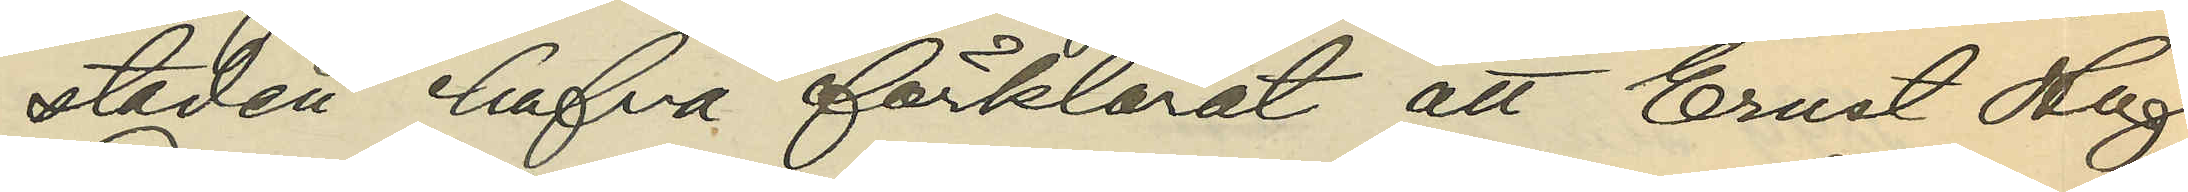staden hafva förklarat att Ernst Hugo
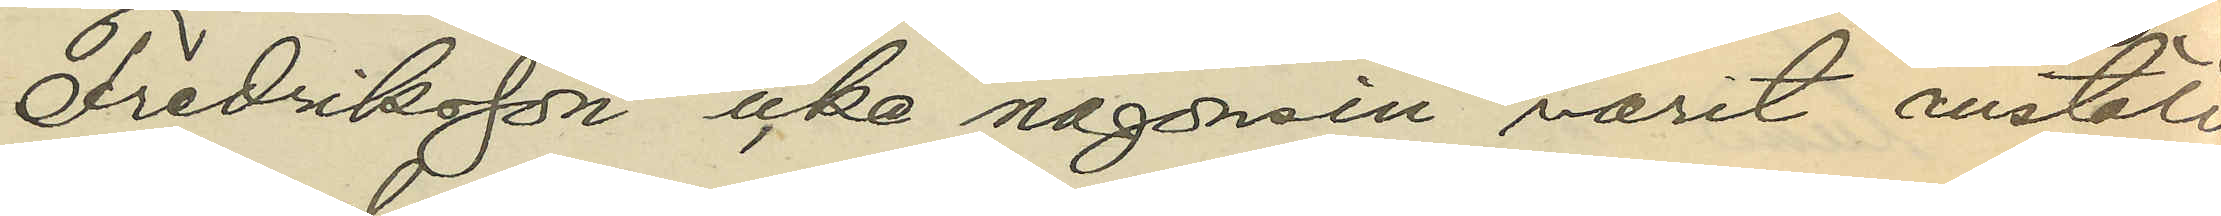Fredriksson icke någonsin varit anstäld
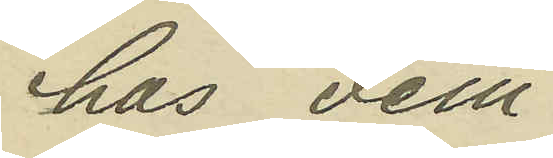hos dem.
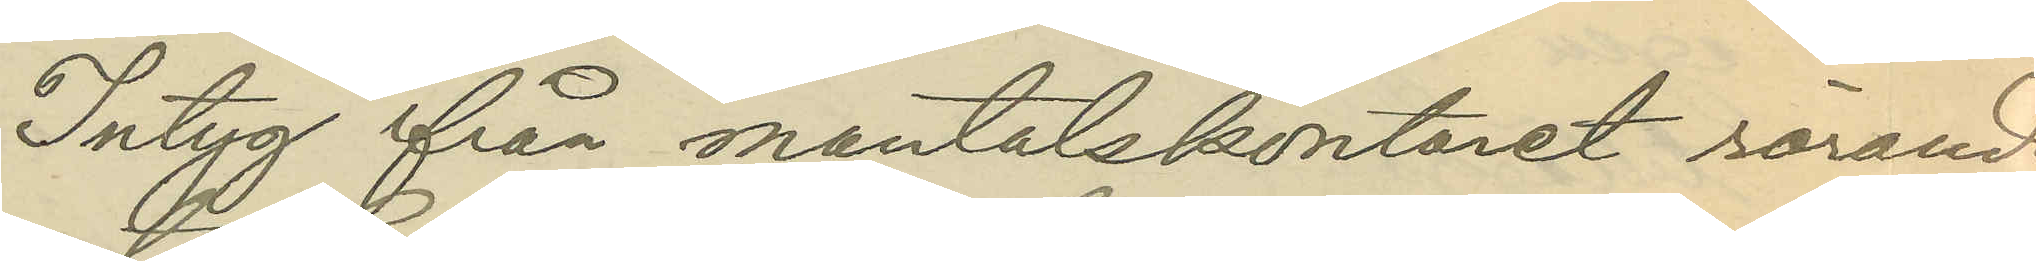Intyg från mantalskontoret rörande
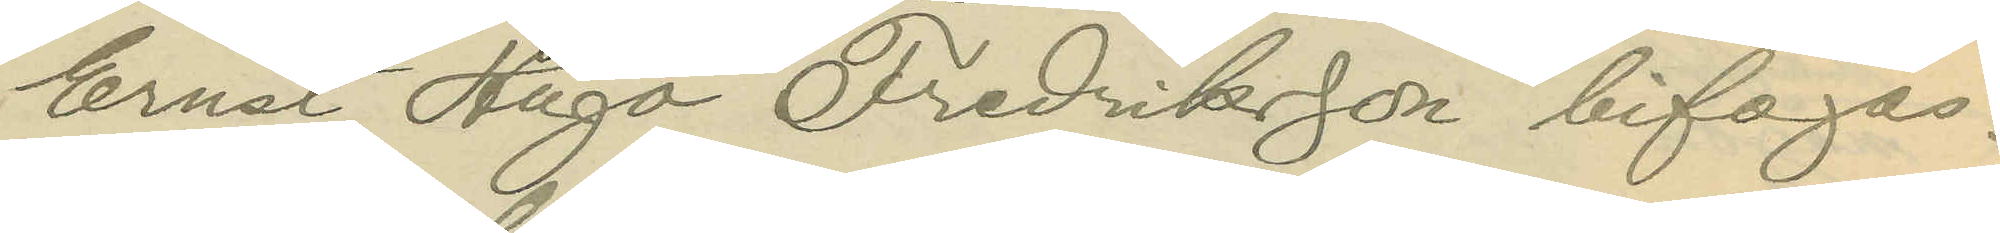Ernst Hugo Fredriksson bifogas.
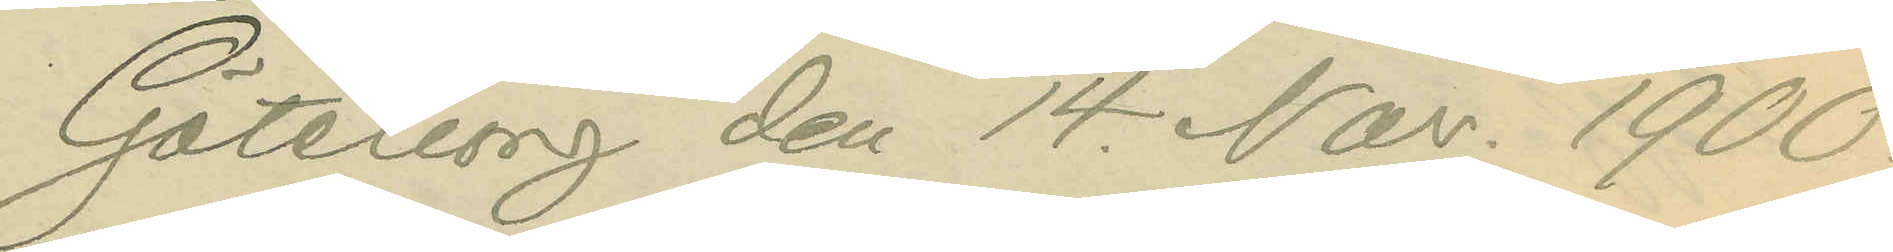Göteborg den 14 Nov. 1900.
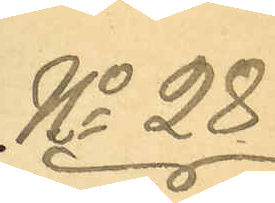No 28.
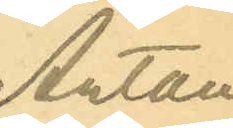Anton
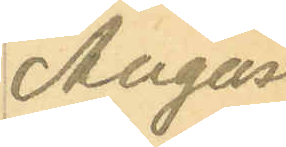August
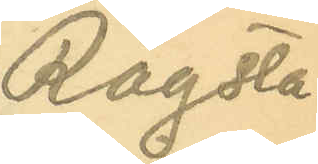Rogsta¬
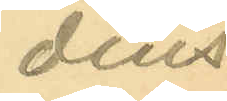dius.
